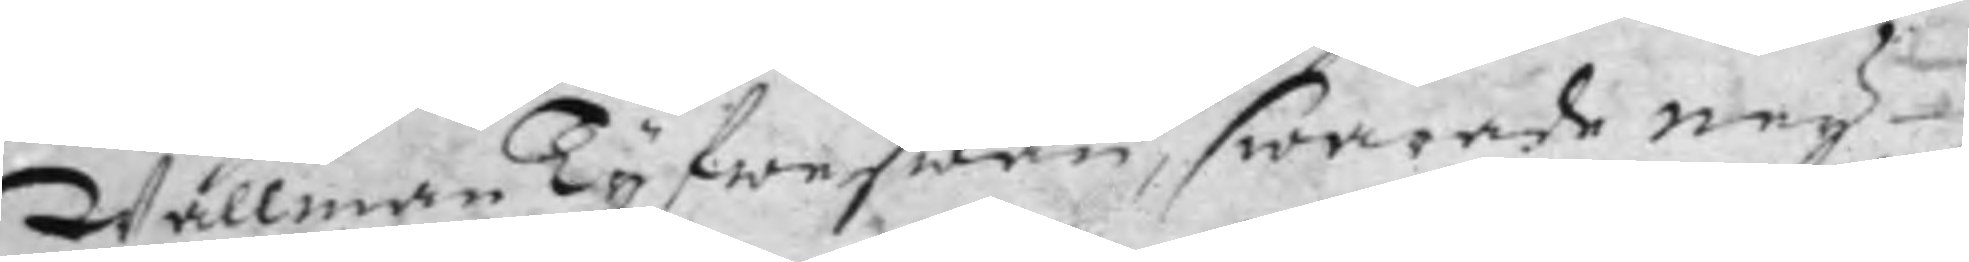WallmanTyfweswän, swarade ney
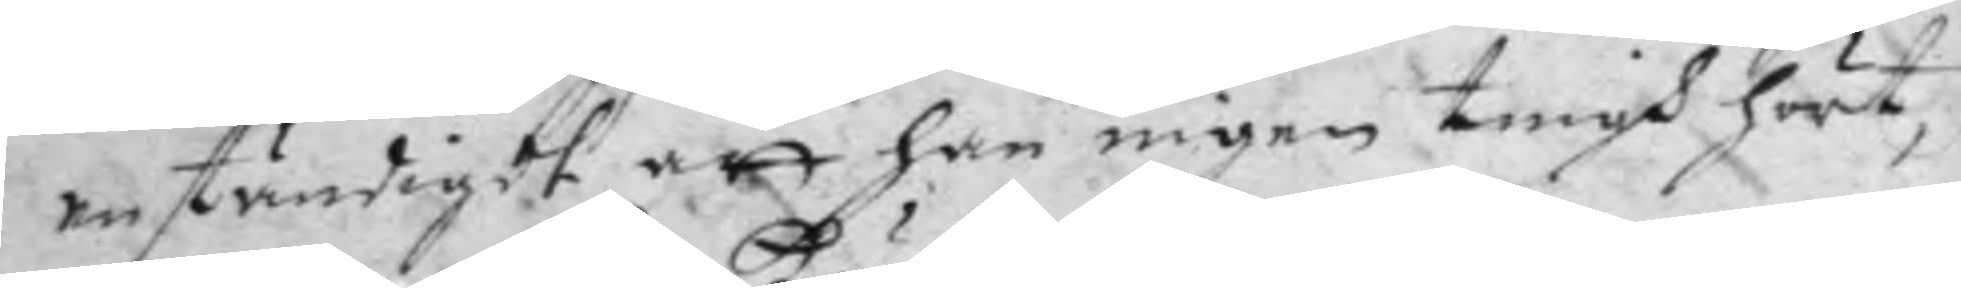anständigdt att han ingen tingh hört,
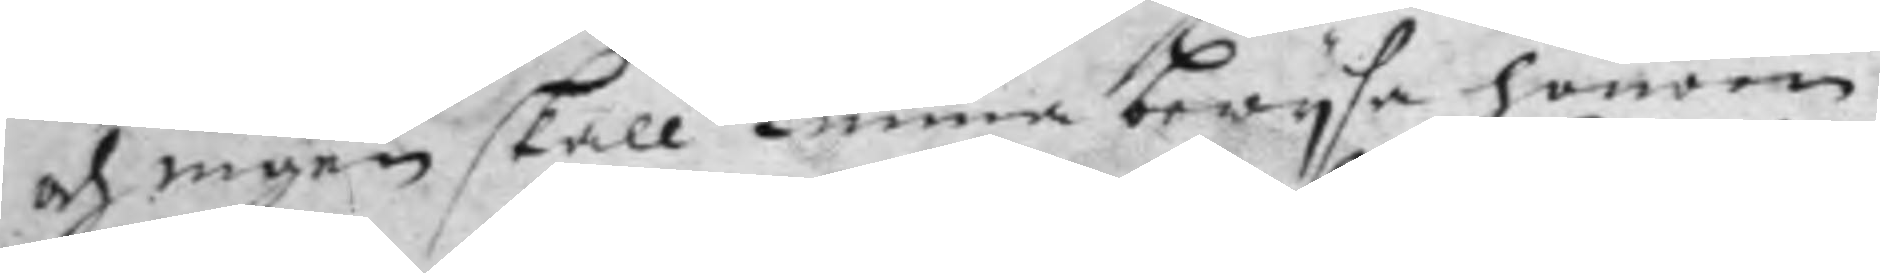och ingen skall kunna bewysa honom.
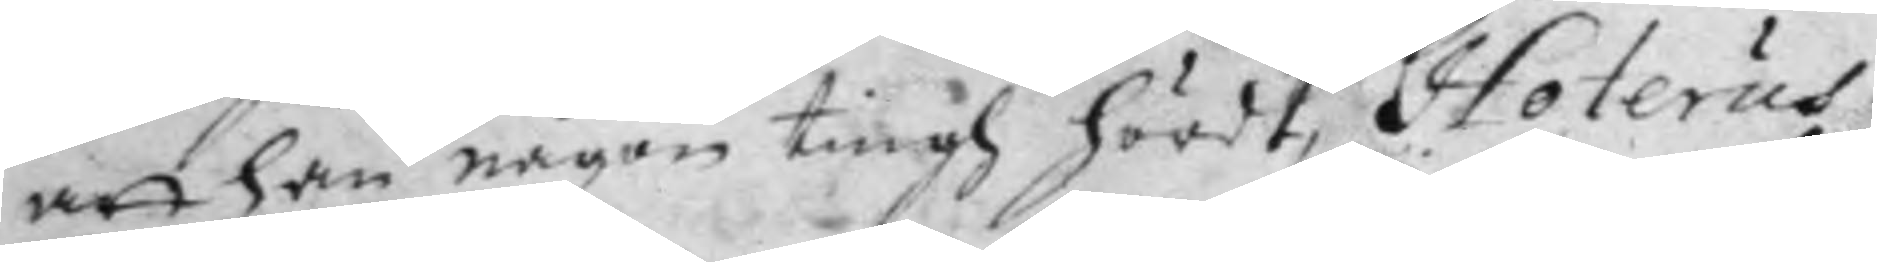att han någon tingh hördt, Hoterus
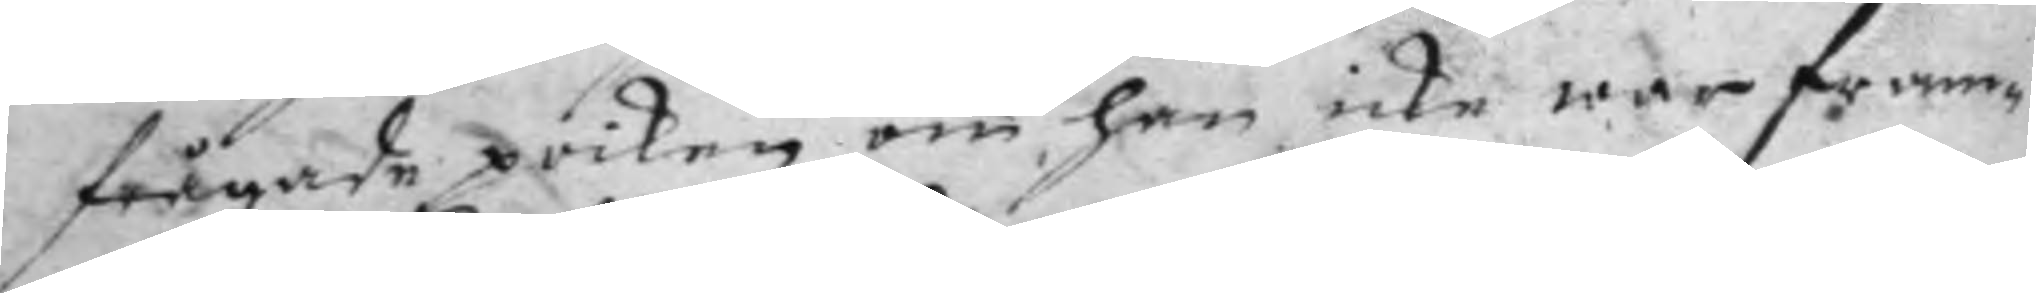frågade poiken om han icke war fram¬
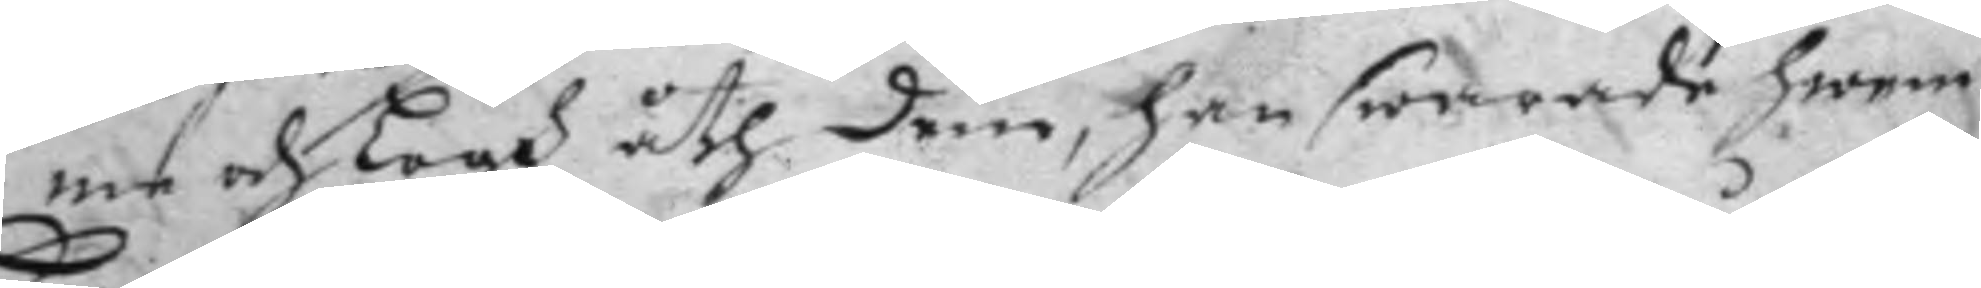me och Logh åth dem, han swarade hwem
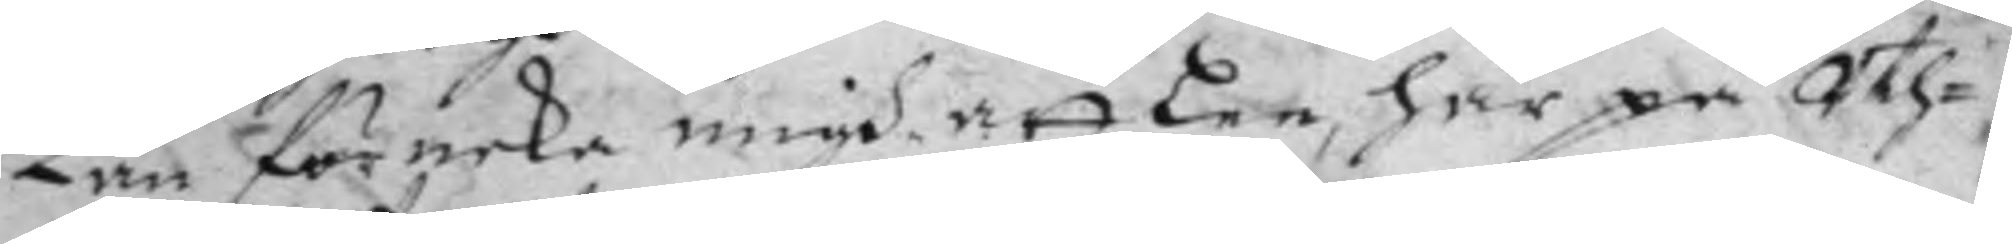Kan förneka migh, att lee, här på Uth¬
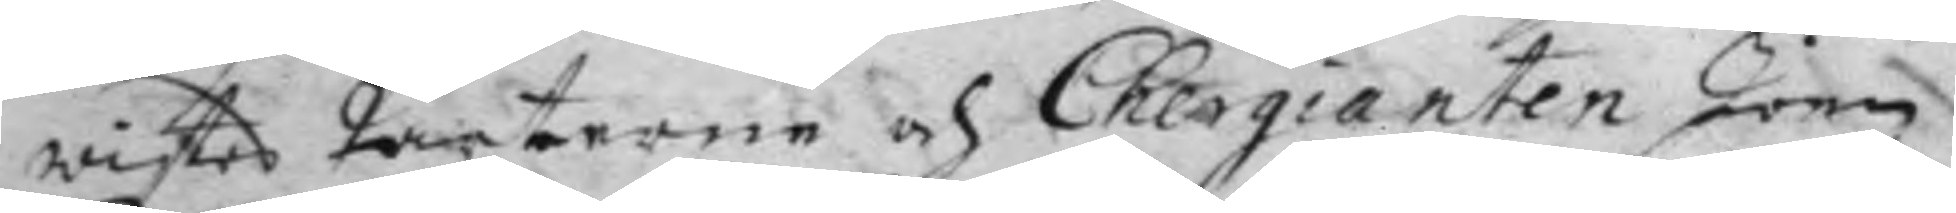wistes Parterne och Chergianten Joen
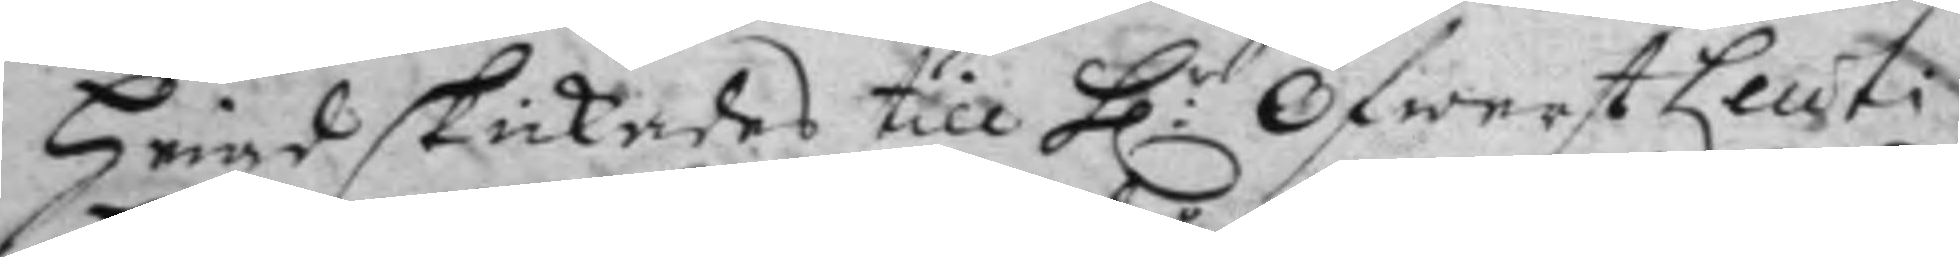Hrad skickades till H:r Öfwerst Leuti 
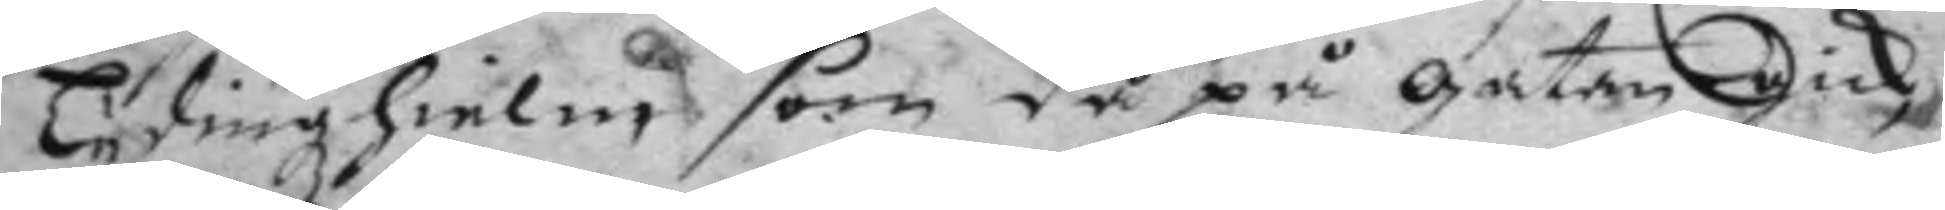Lydingzhielms som då på gatan Gick
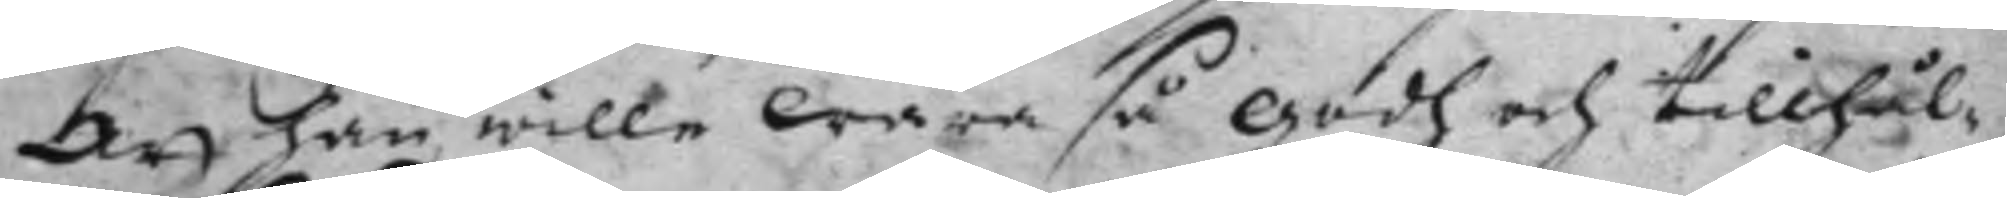att han, wille wara så godh och tillhål¬
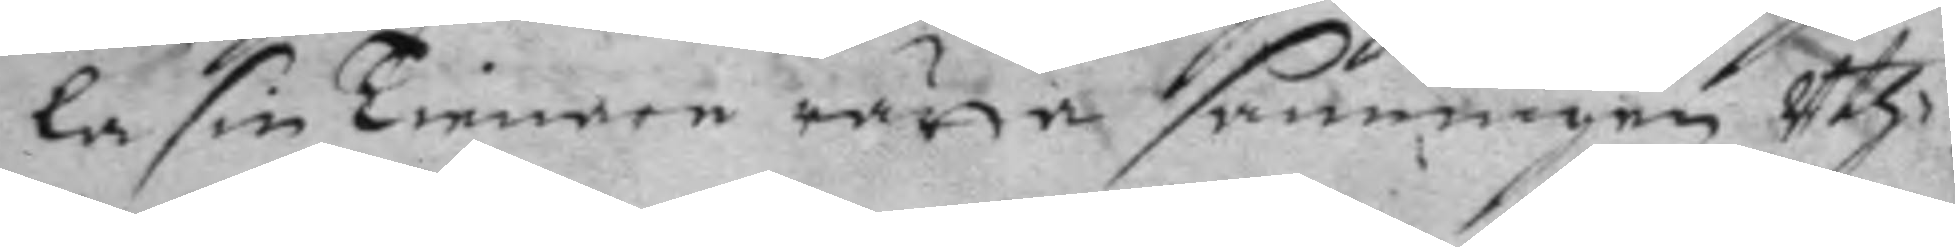la sin Tienare rätta sanningen Uth¬
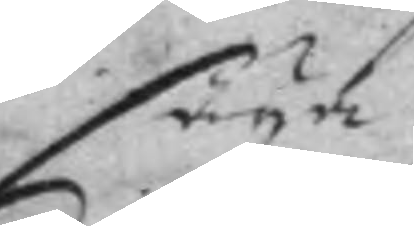säya
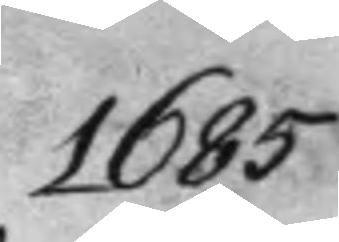1685
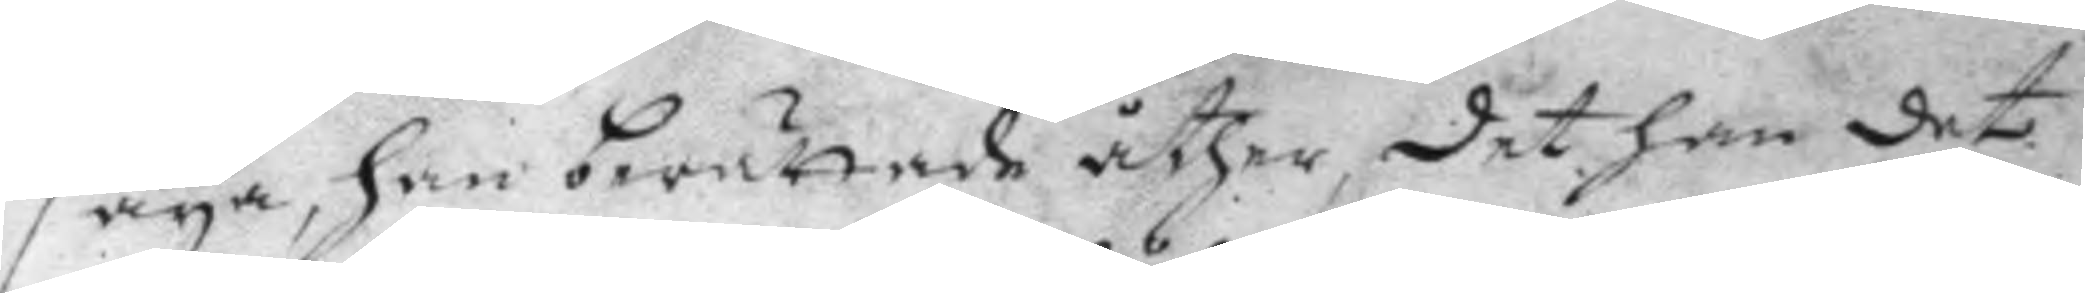säya, han berättade åther, det han det
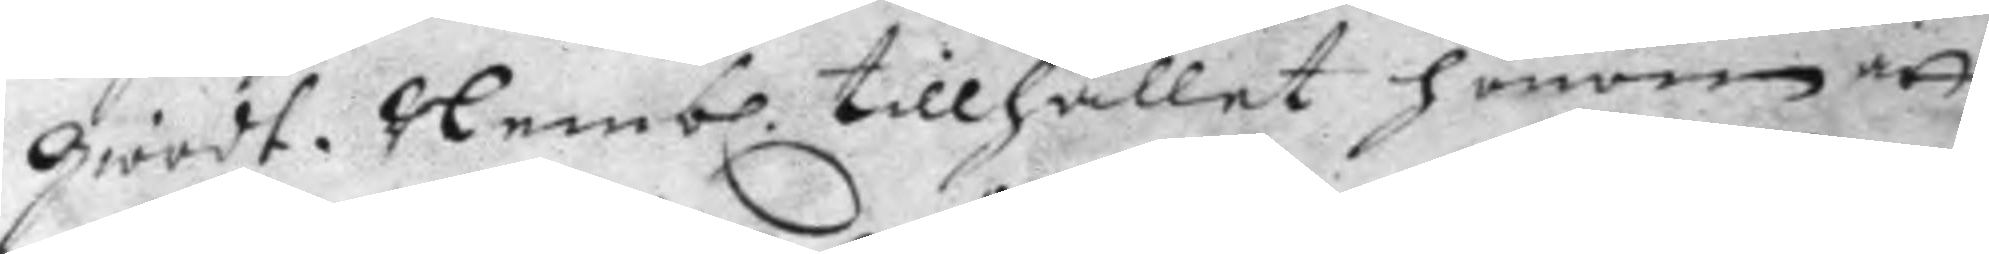giordt. Nemb. tillhållet honom att 
